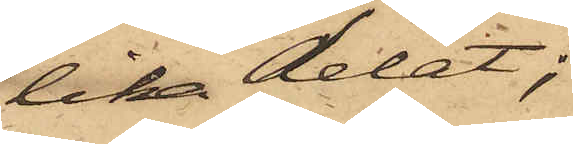lika delat;
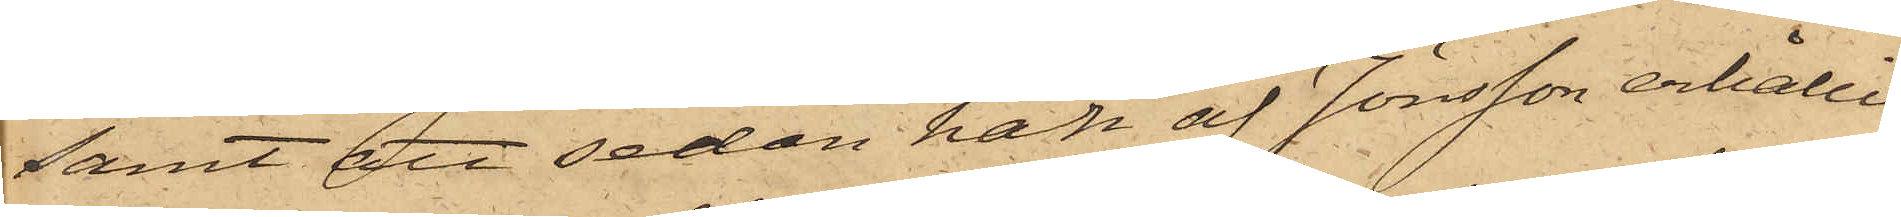samt att sedan han af Jönsson erhållit
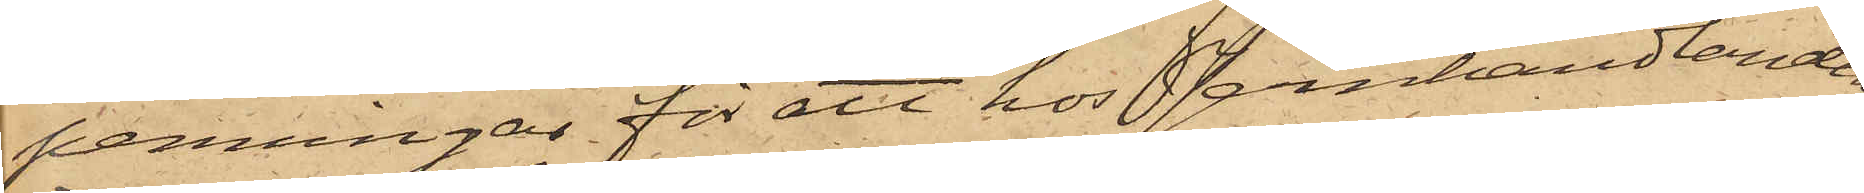penningar för att hos Jernhandlanden
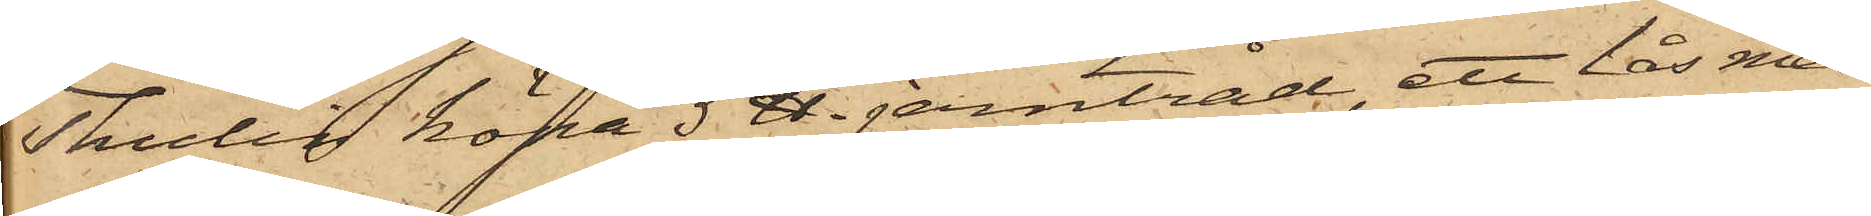Thulin köpa 5 ℔ jerntråd, ett lås med
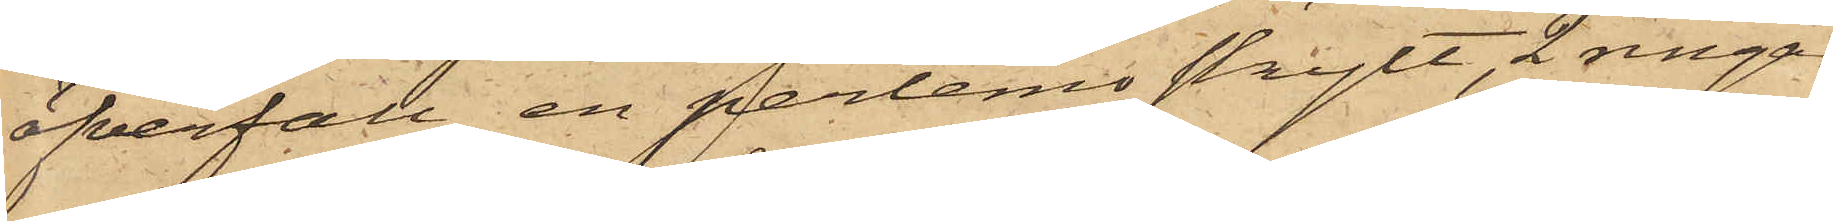öfverfall, en perlemoskylt, 2 ringar
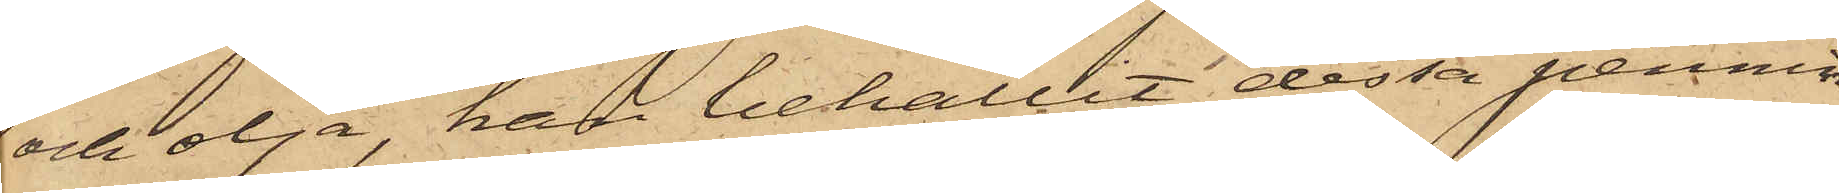och olja, han behållit dessa pennin¬
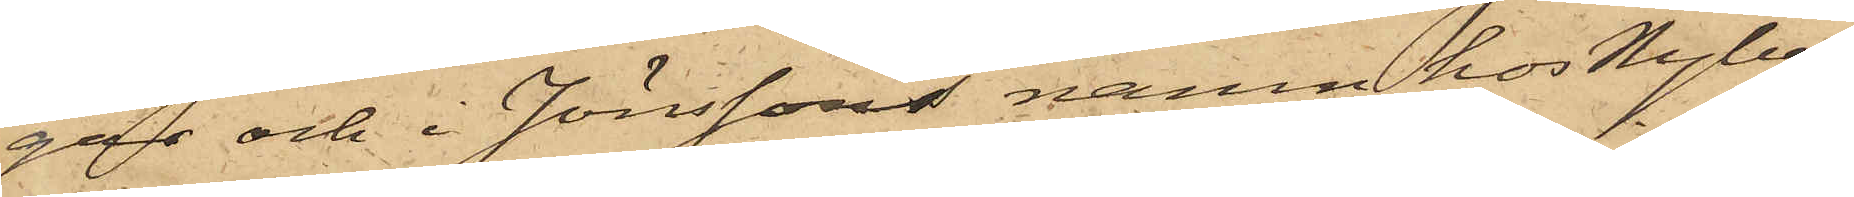gar och i Jönssons namn hos Nyberg
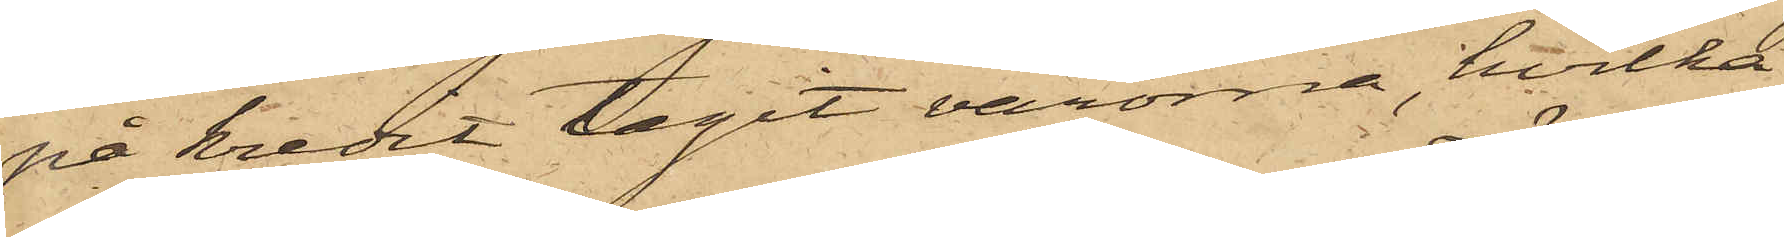på kredit tagit varorna, hvilka
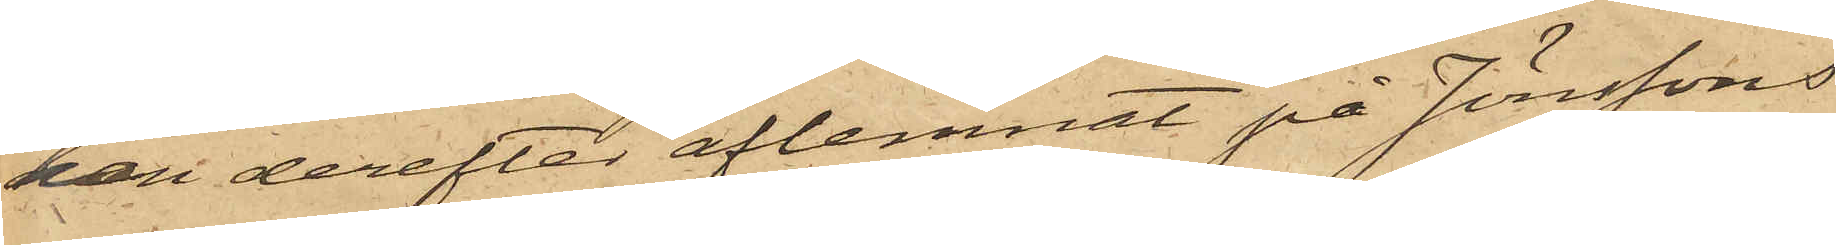han derefter aflemnat på Jönssons
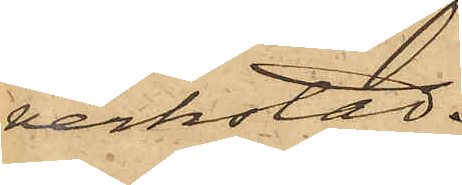verkstad.
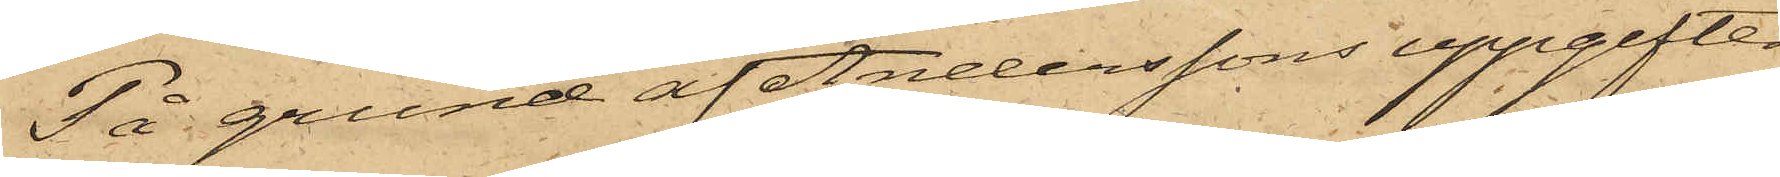På grund af Anderssons uppgifter
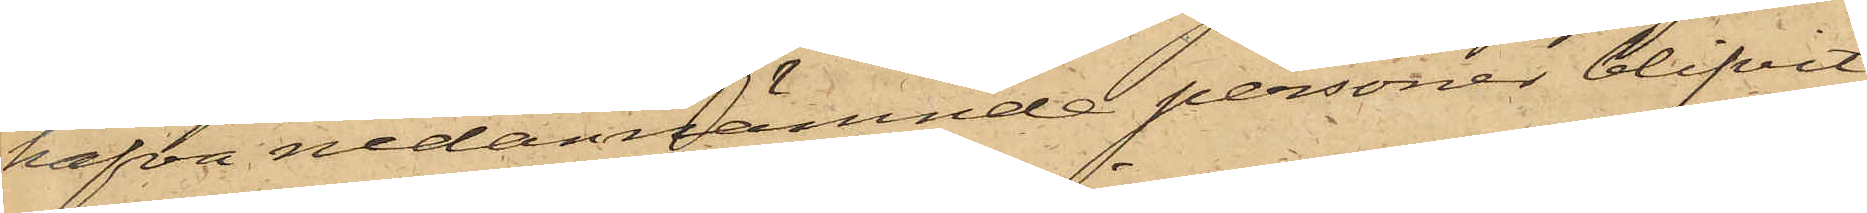hafva nedannämnde personer blifvit
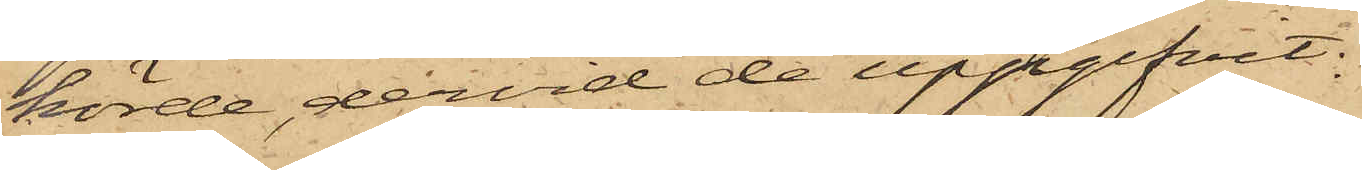hörde, dervid de uppgifvit:
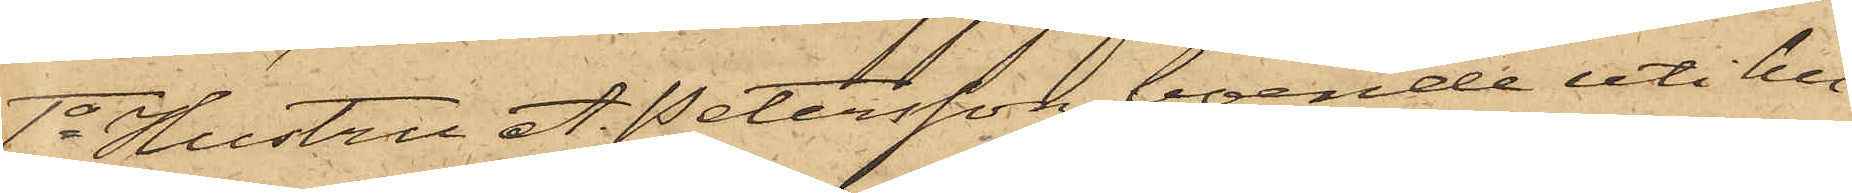1o Hustru A. Petersson, boende uti hu¬
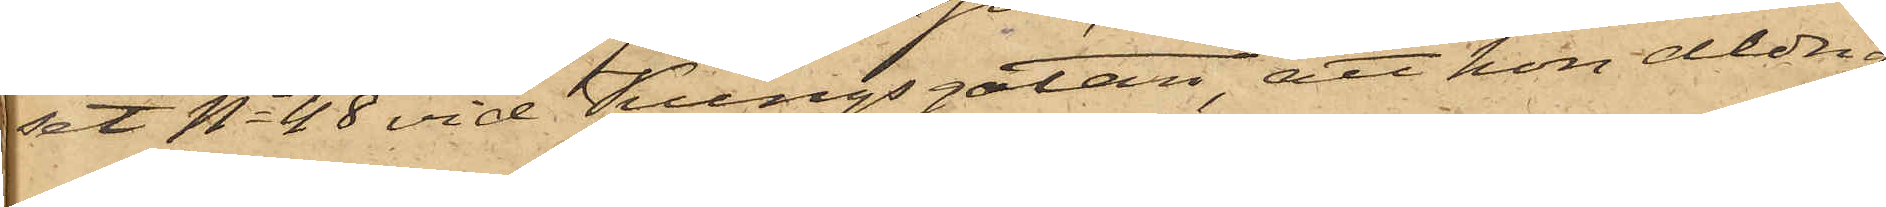set No 48 vid Kungsgatan, att hon aldrig
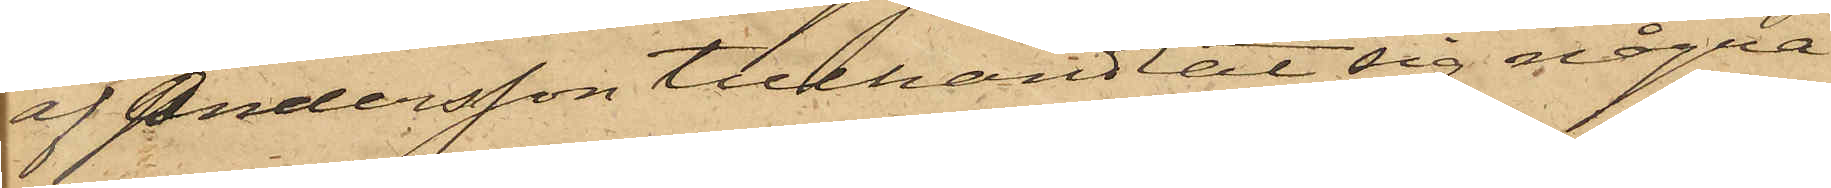af Andersson tillhandlat sig några
